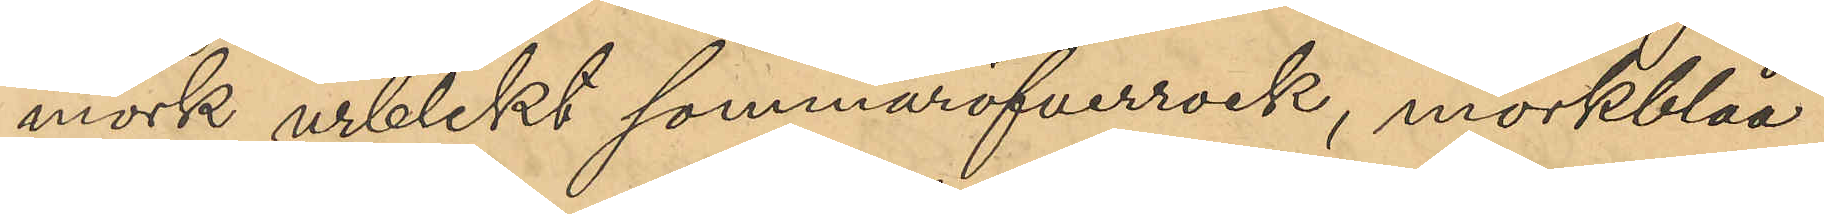mörk urblekt sommaröfverrock, mörkblåa
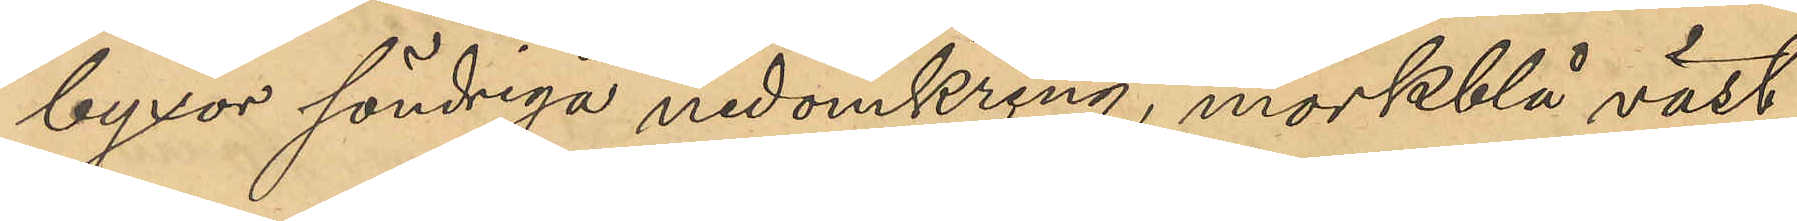byxor söndriga nedomkring, mörkblå väst,
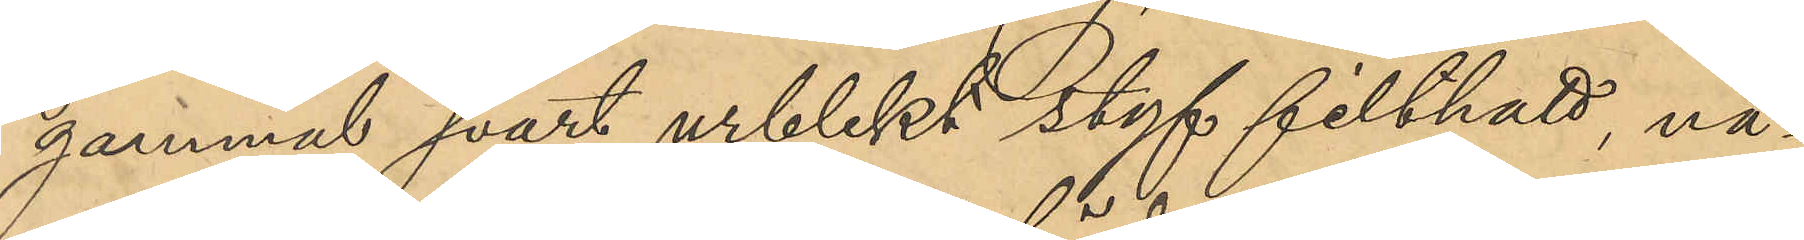gammal svart urblekt styf filthatt, nå¬
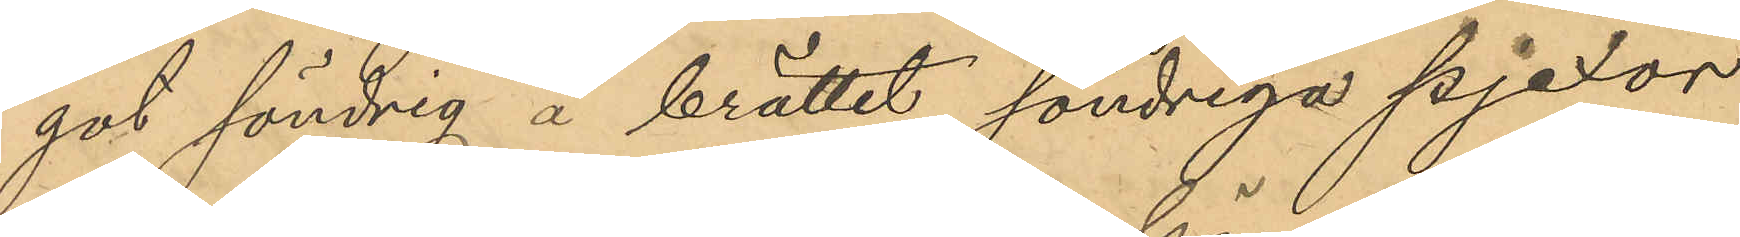got söndring å brättet, söndriga pjexor
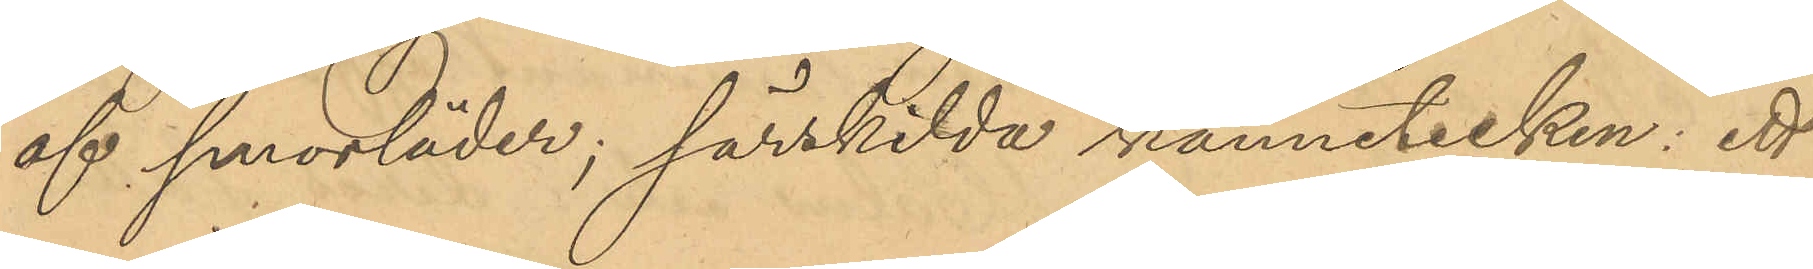af smorläder; särskilda kännetecken: ett
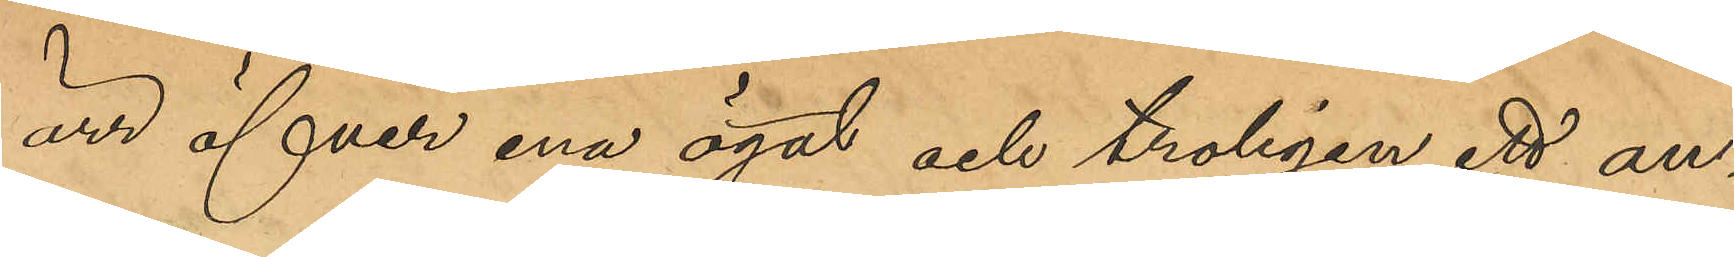ärr öfver ena ögat och troligen ett an¬
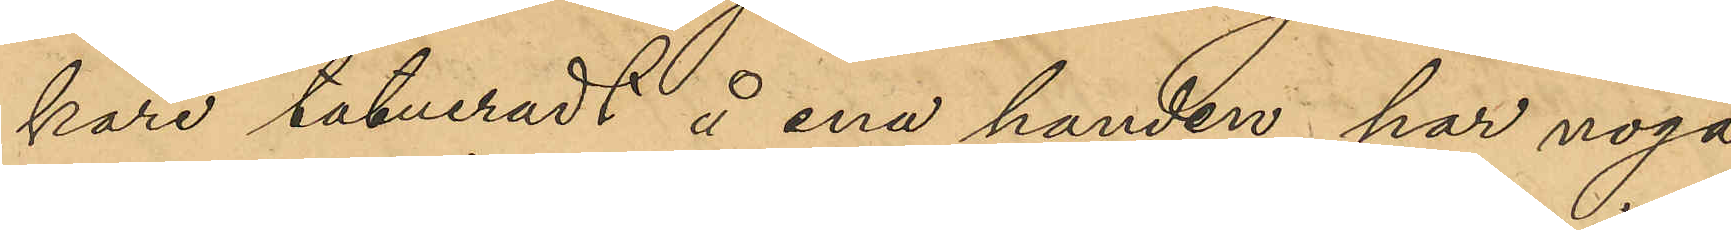kare tatueradt å ena handen, har noga
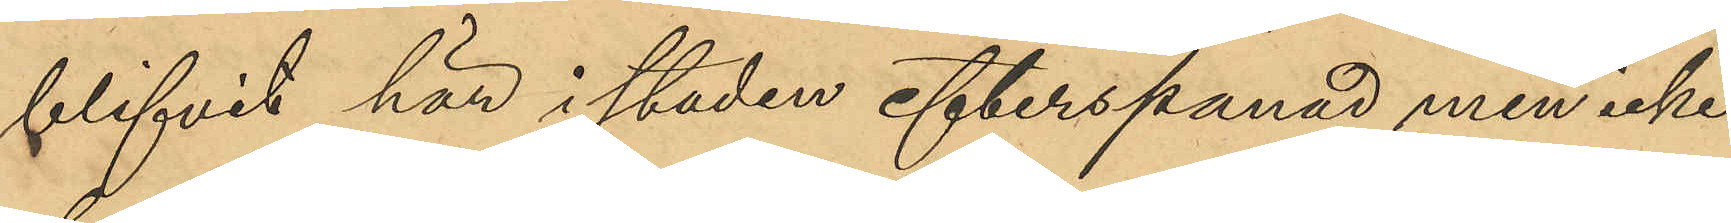blifvit här i staden efterspanad men icke
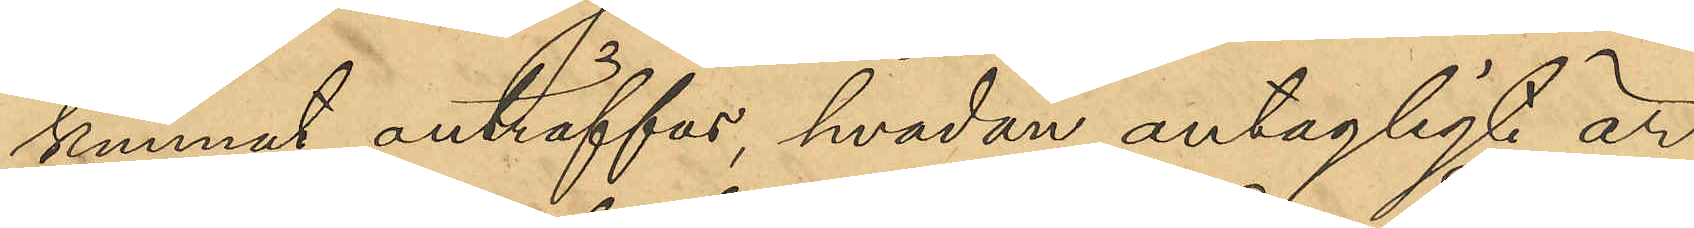kunnat anträffas, hvadan antagligt är
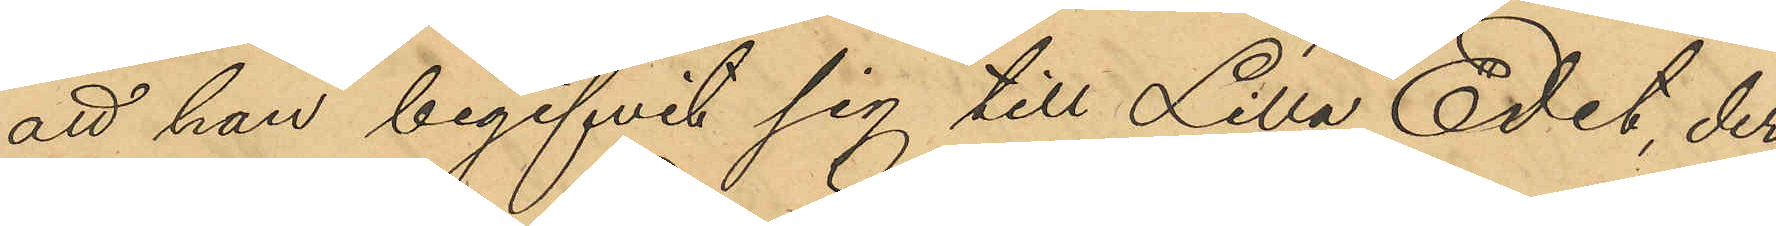att han begifvit sig till Lilla Edet, der
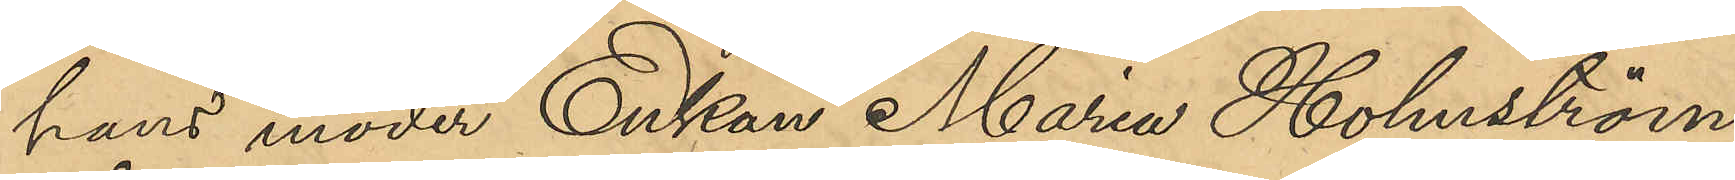hans moder Enkan Maria Holmström
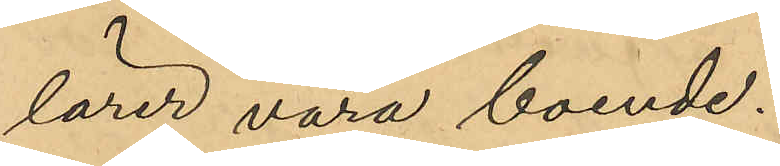lärer vore boende.
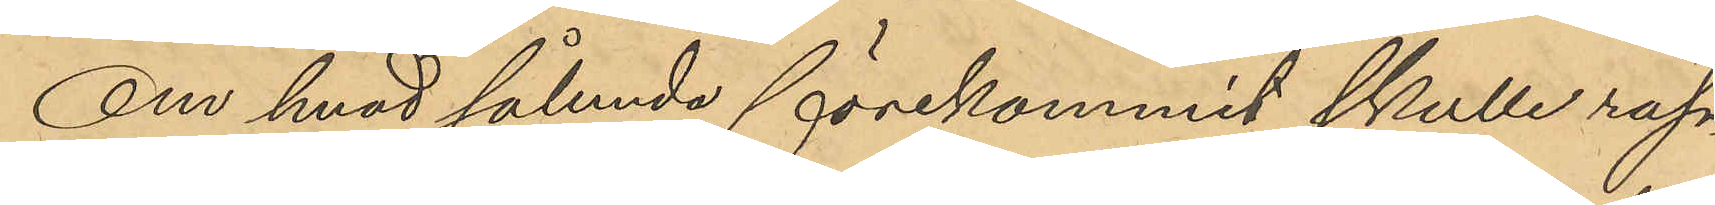Om hvad sålunda förekommit skulle rap¬
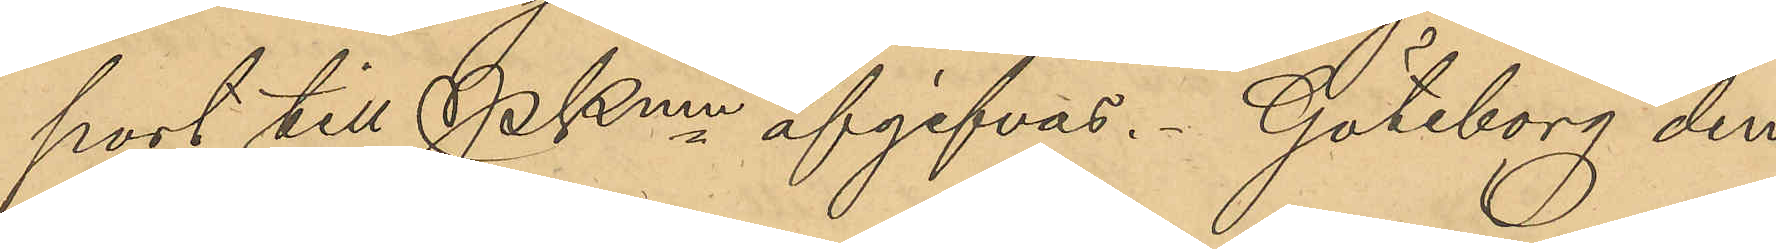port till Pkmn afgifvas. Göteborg
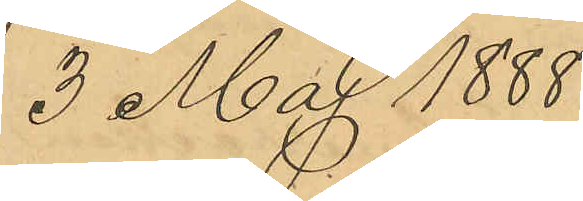3 Maj 1888.
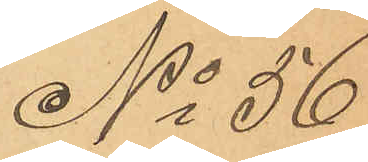No 56
